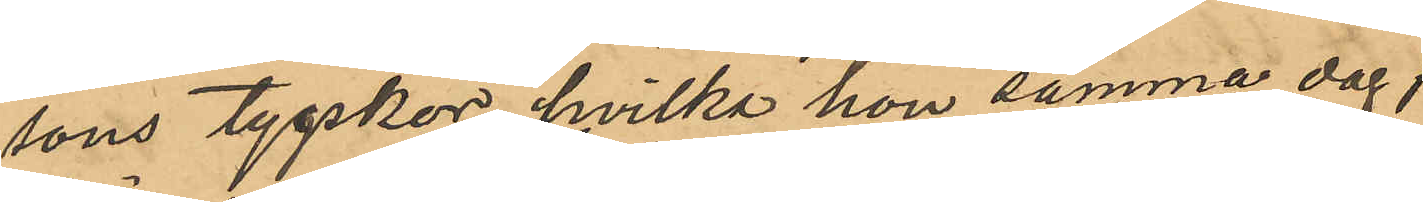sons tygskor, hvilka hon samma dag;
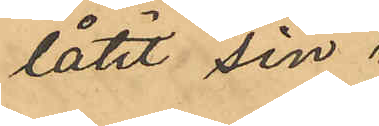låtit sin
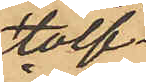tolf¬
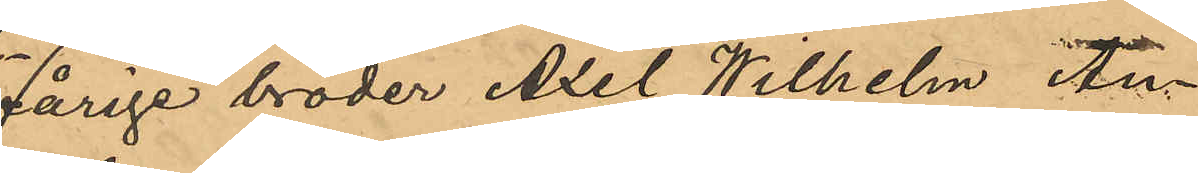årige broder Axel Wilhelm An¬
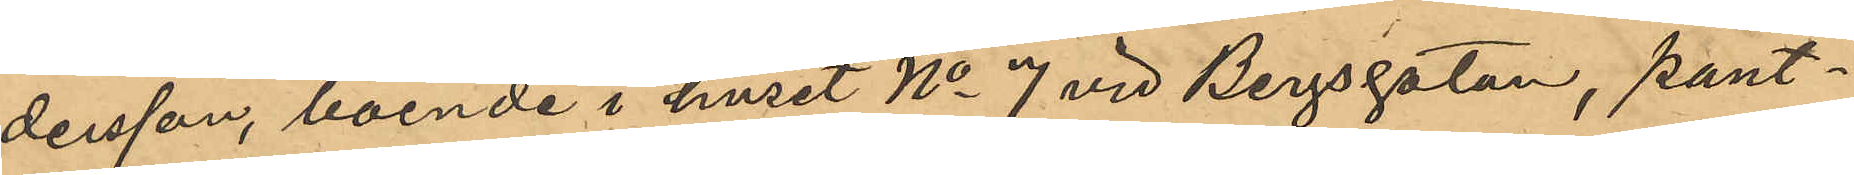dersson, boende i huset No 7 vid Bergsgatan, pant¬
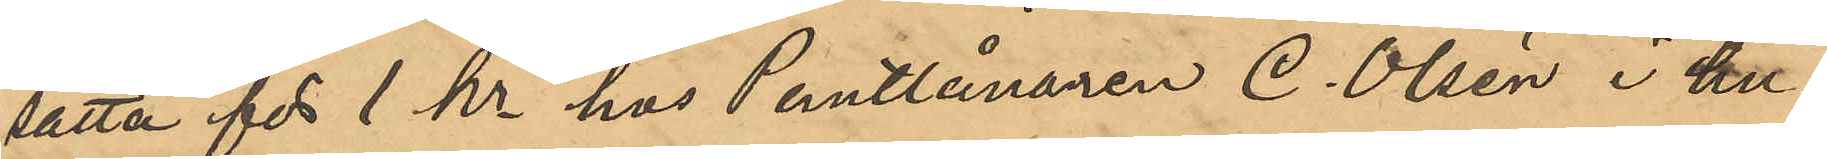sätta för 1 kr hos Pantlånaren C. Olsén i hu¬
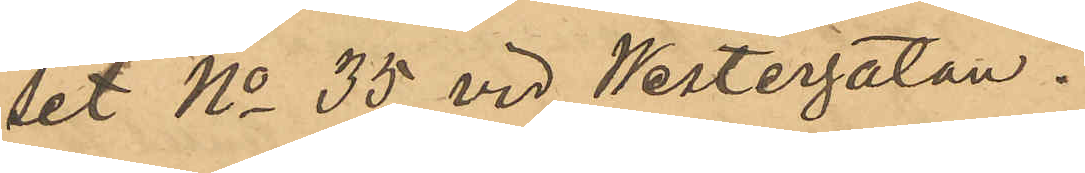set No 35 vid Westergatan.
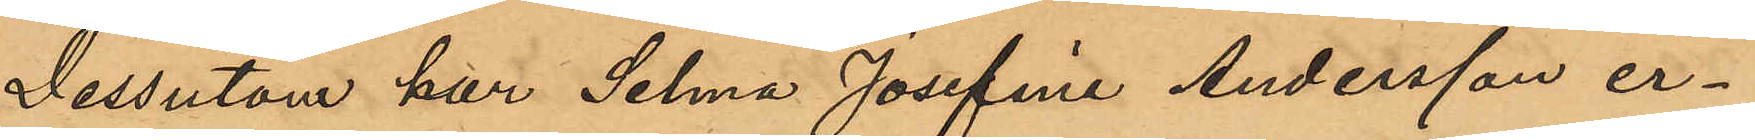Dessutom har Selma Josefina Andersson er¬
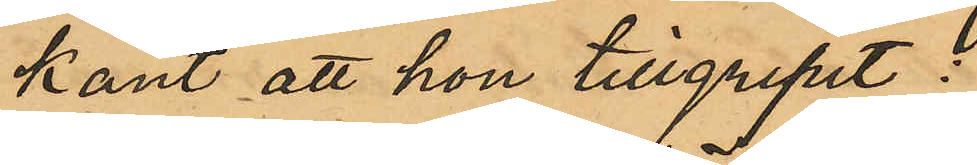känt att hon tillgripit :
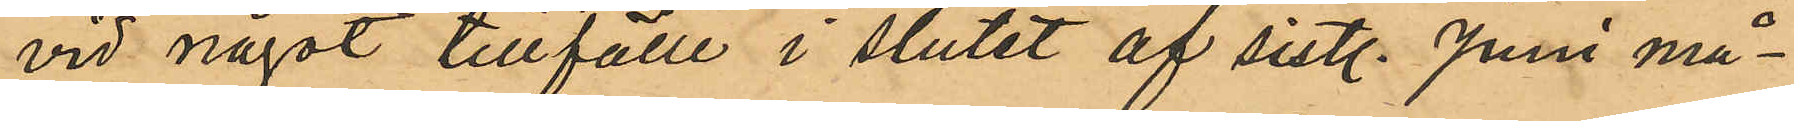vid något tillfälle i slutet af sistl. Juni må¬
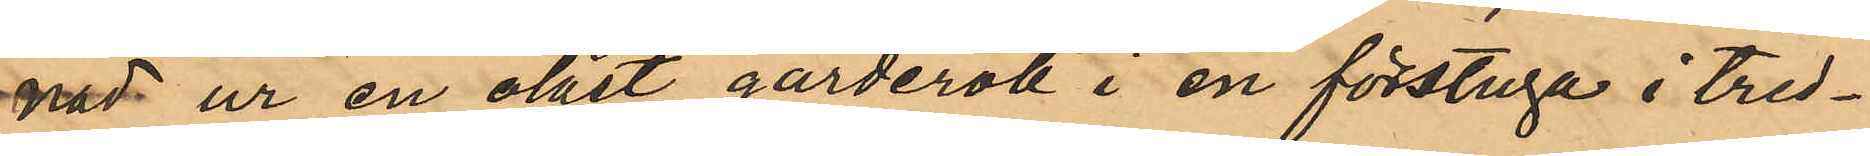nad ur en olåst garderob i en förstuga i tred¬
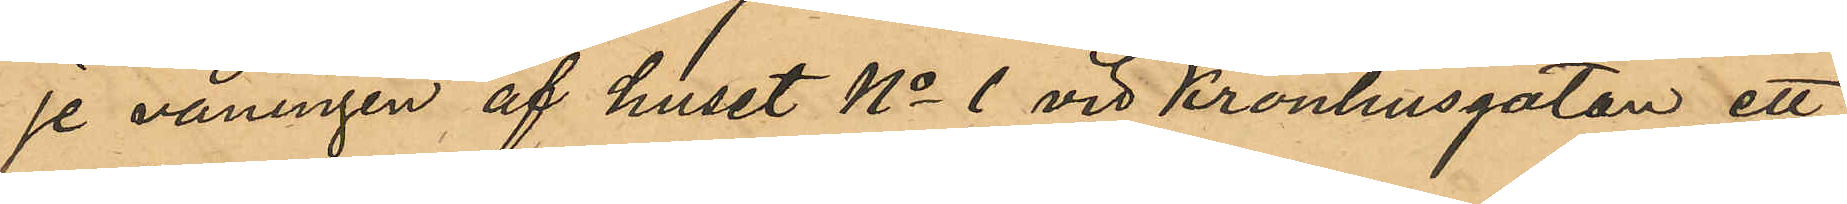je våningen af huset No 1 vid Kronhusgatan, ett
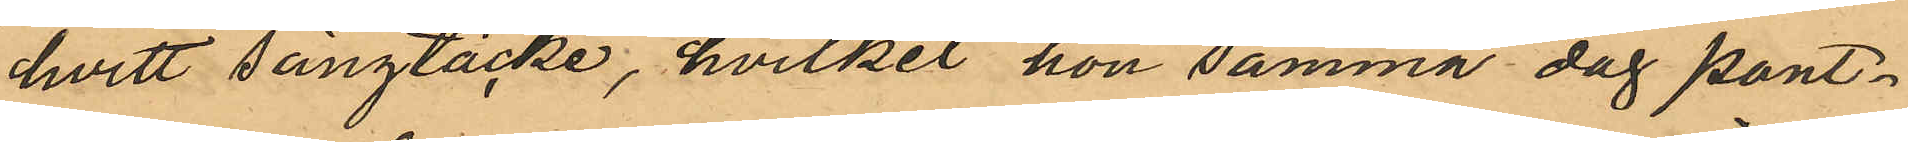hvitt sängtäcke, hvilket hon samma dag pant¬
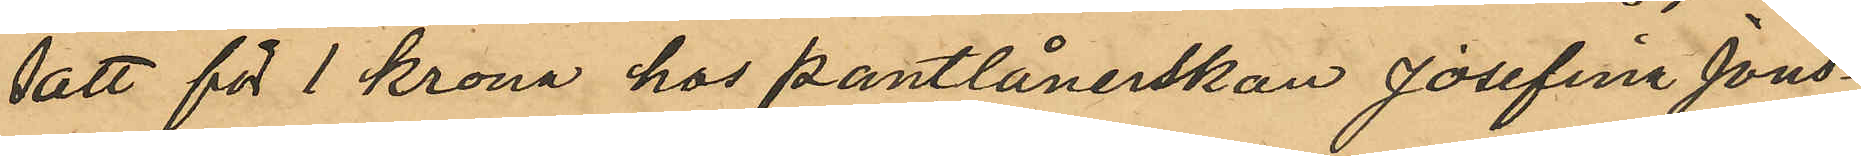satt för 1 krona hos pantlånerskan Josefina Jons¬
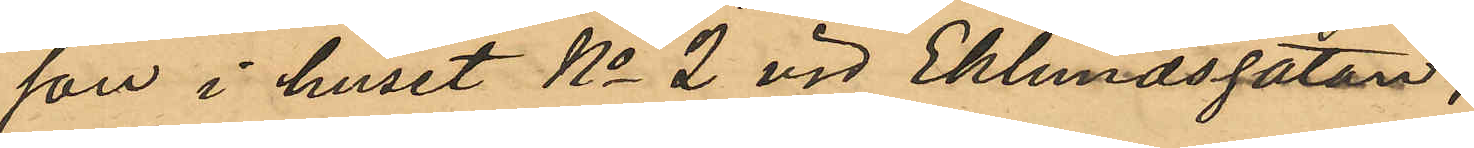son i huset No 2 vid Eklundsgatan;
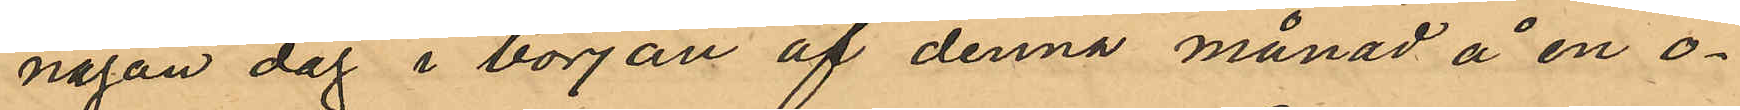någon dag i början af denna månad å en o¬
